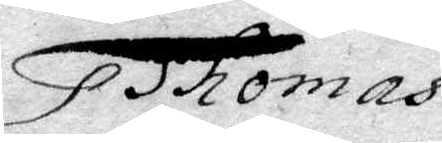Thomas
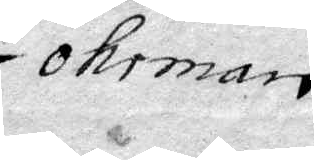Ohrman.
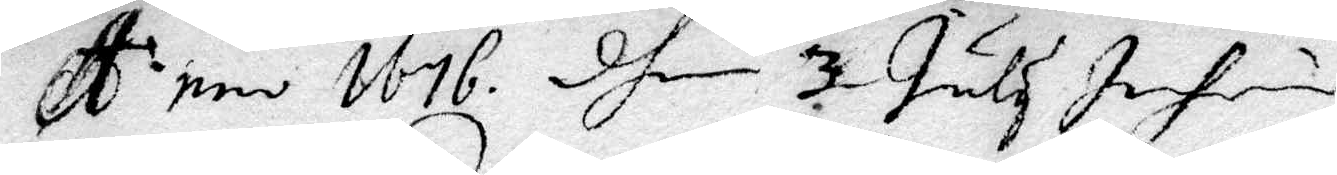A:nno 1676 dhen 3 July Inhin
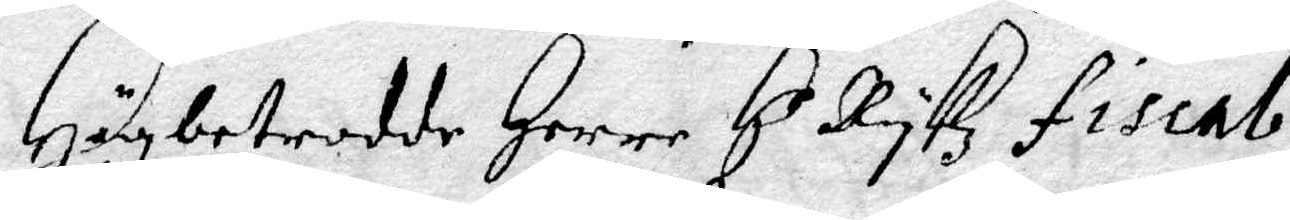Högbetrodde Herre H.r Rykz Fiscal
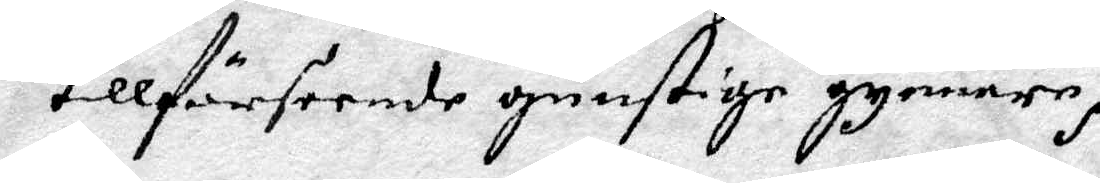tillförseende gunstige gynnere,
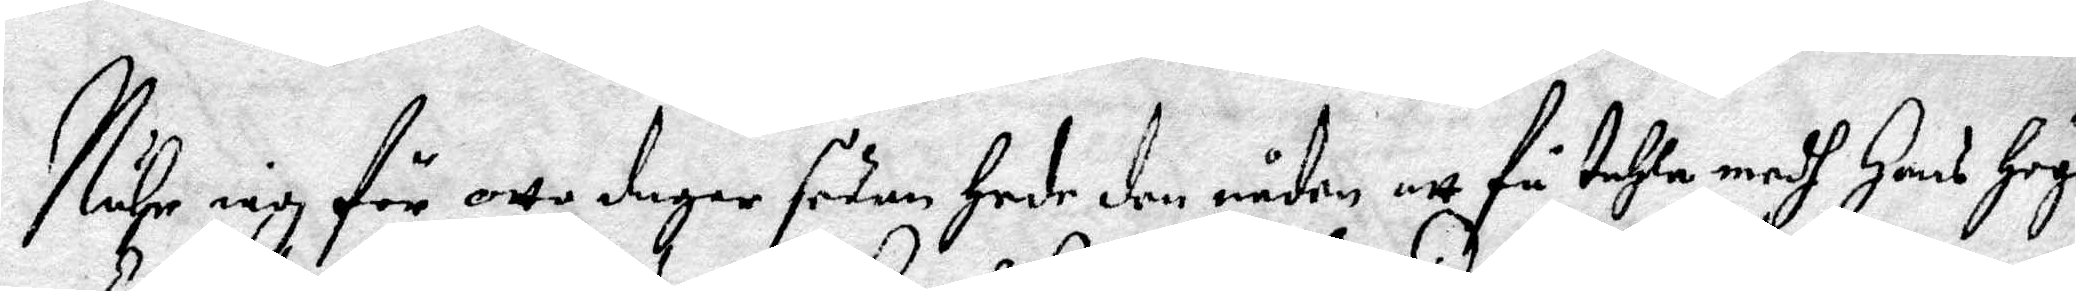Närh iag för otta dagar sedan Hade den nåden att få tahla medh Hans Höge
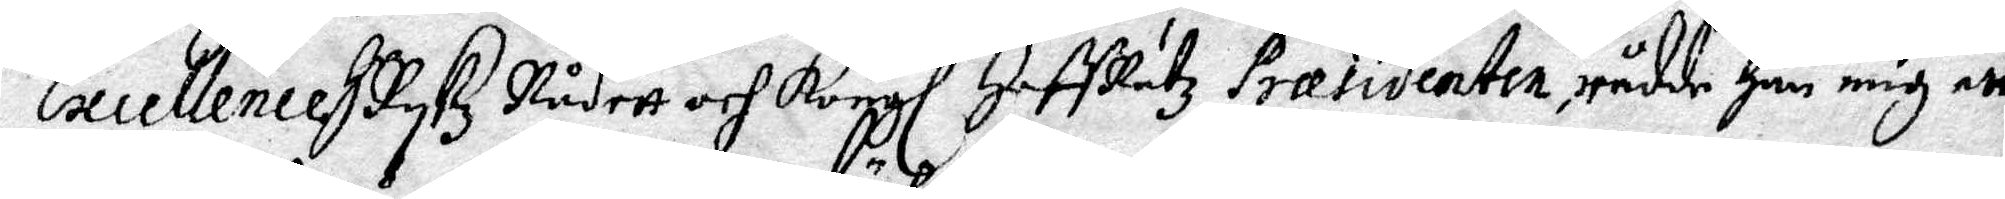Excellence H Rykz Rådett och Kongl HoffRätz Præsidenten, rådde Han mig att
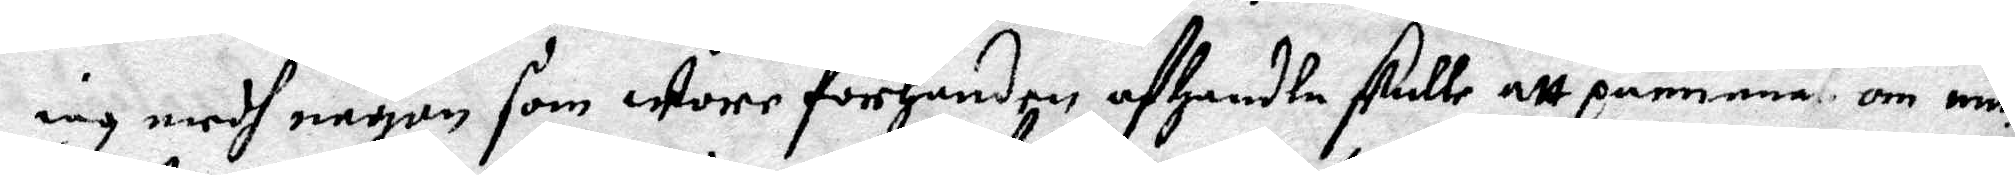iag medh någon som wore förhanden afhandla skulle att påminna om min
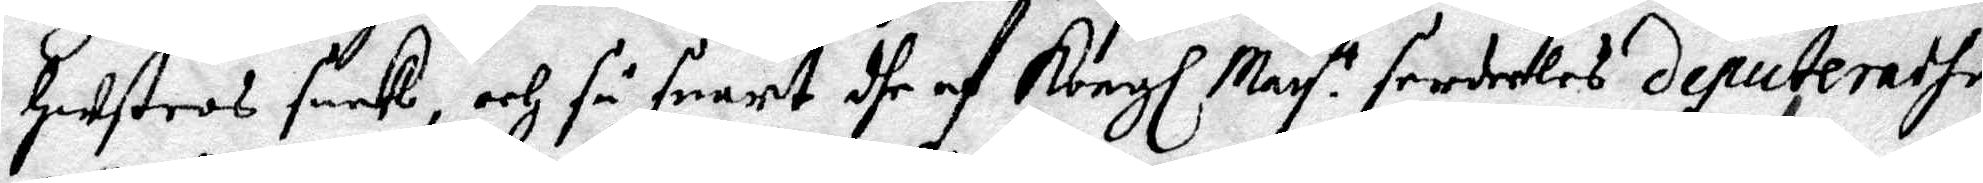Hustros saak, och så snart dhe af Kongl May tt serdeles deputerade
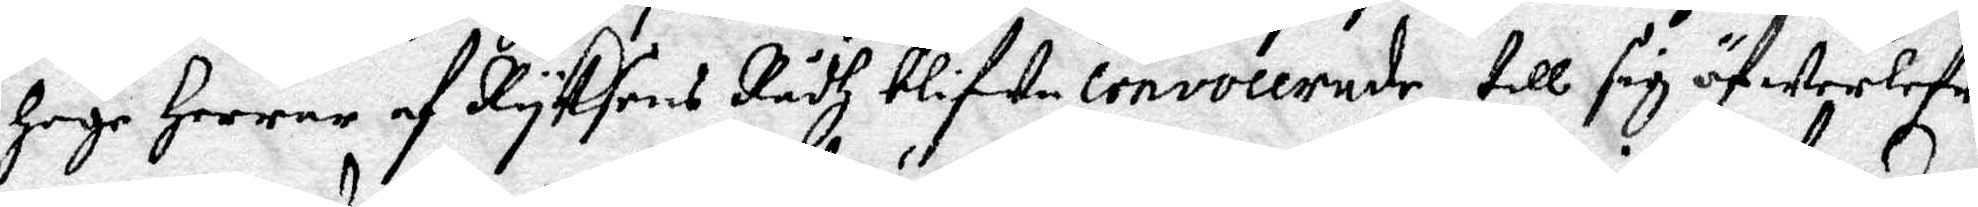Höge Herrar af Ryksens Rådh blifwe convocerade, till sig öfwerlefre¬
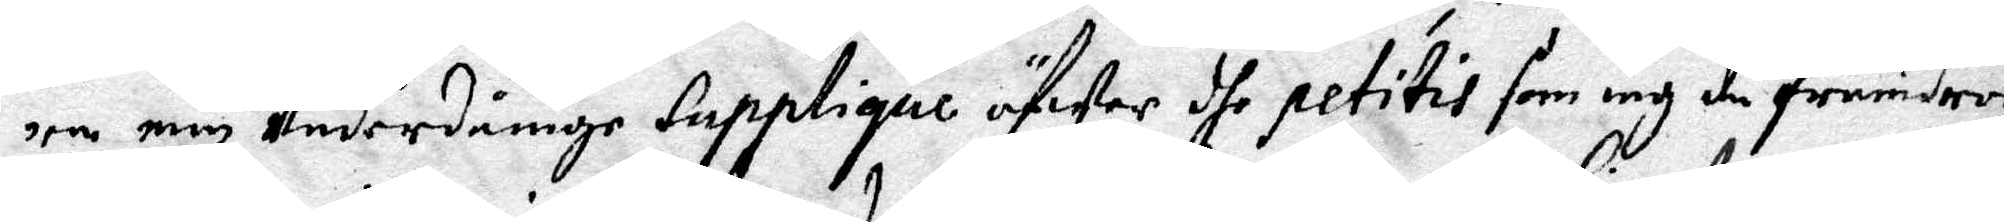ra min Underdånige Supplique ögWer dhe petitis som iag då framdrog
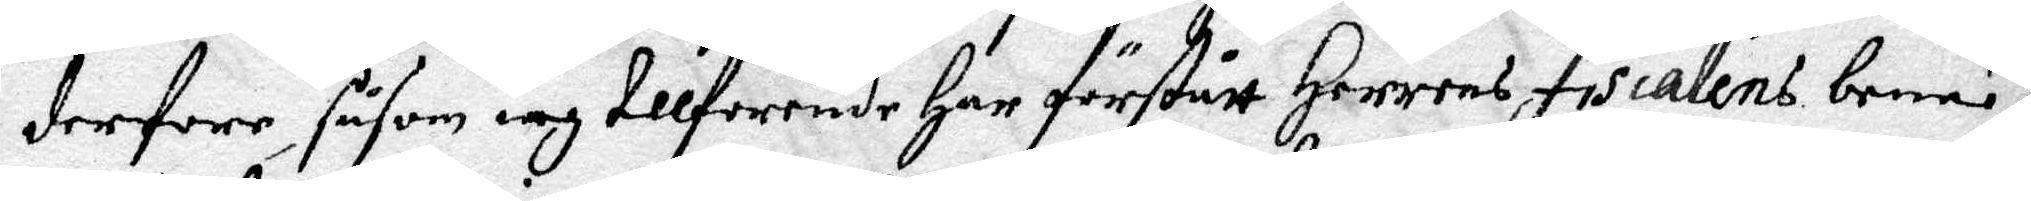derfore, såsom iag tillforende har förstått Herrens Fiscalens benä¬
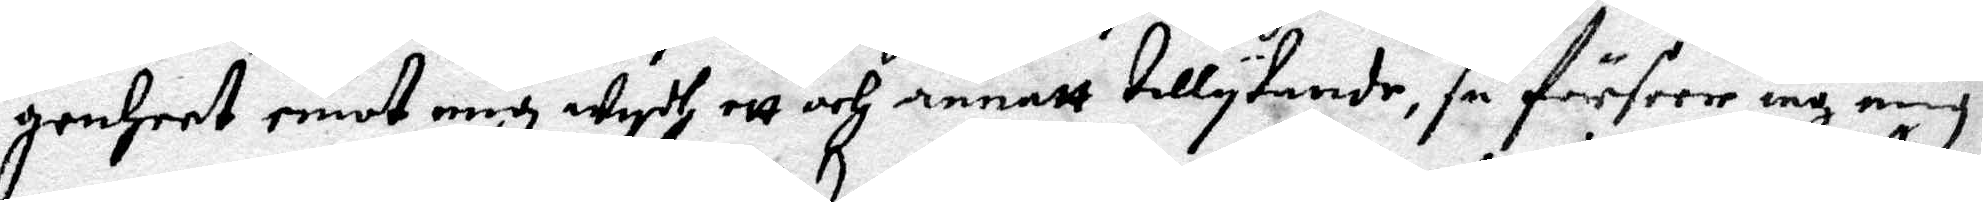genheet emot mig Wydh ett och annatt tillytande, så förstår ia mig
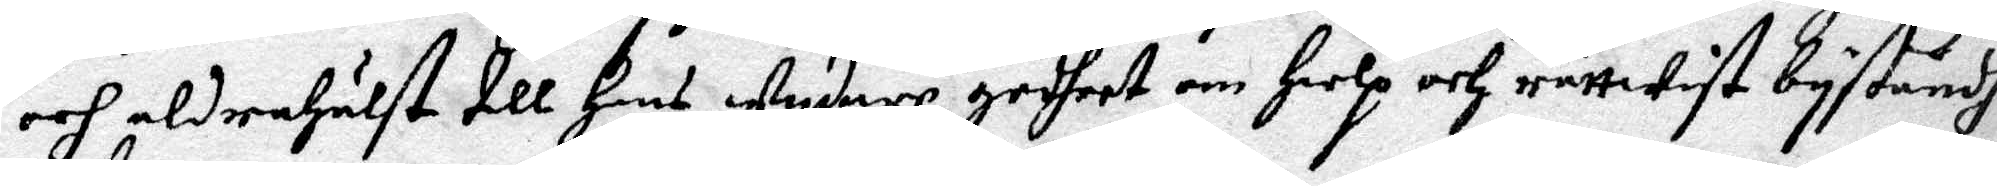och aldrahälst till Hans Wydare godheet om Hielp och rättWyst byståndh
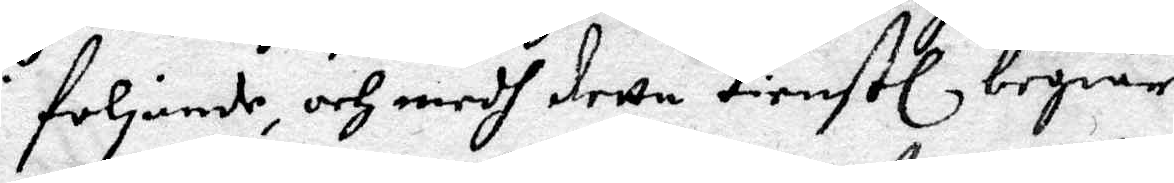i Följande, och medh detta tienstl begiär
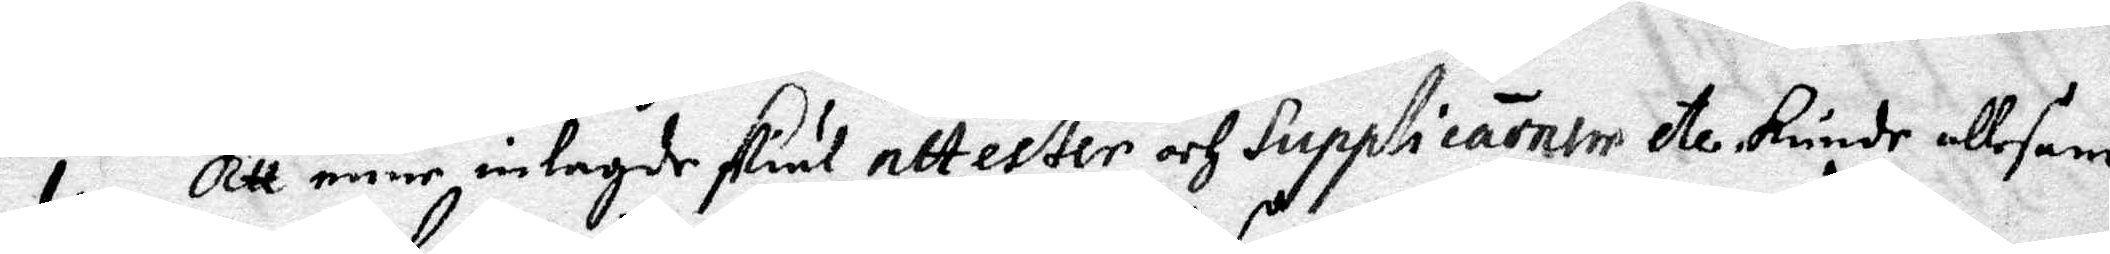1. Att mine inlagde skiäl attester och Supplicarnter etc kunde allesam¬
